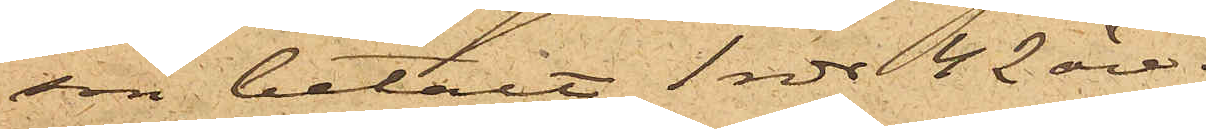son betalt 1 rdr 42 öre.
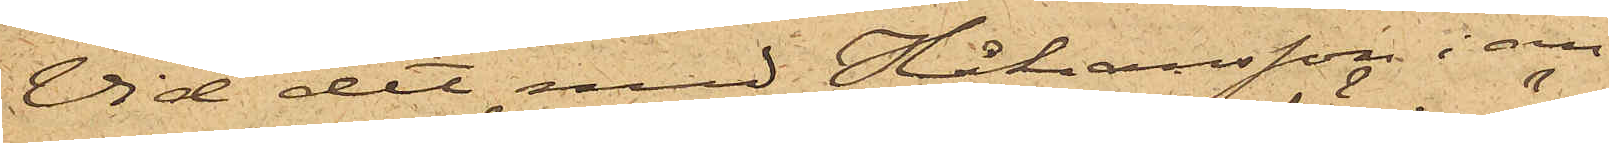Vid det med Håkansson i an¬
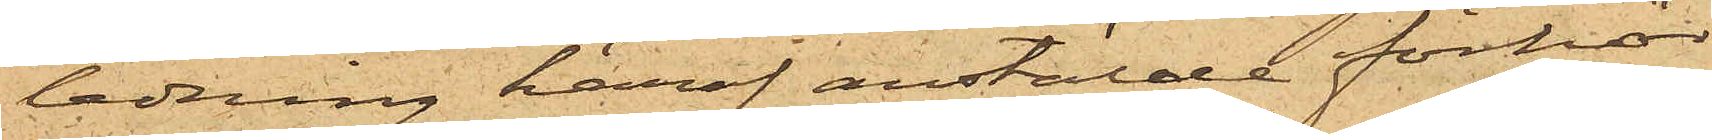ledning häraf anstälde förhör
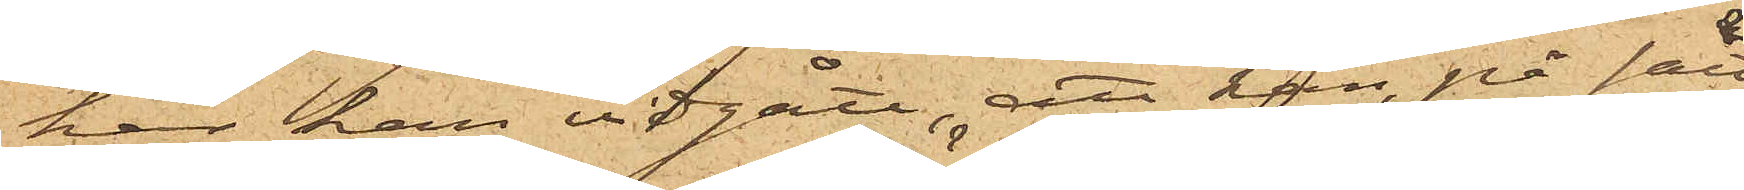har han vidgått, att han, på sätt
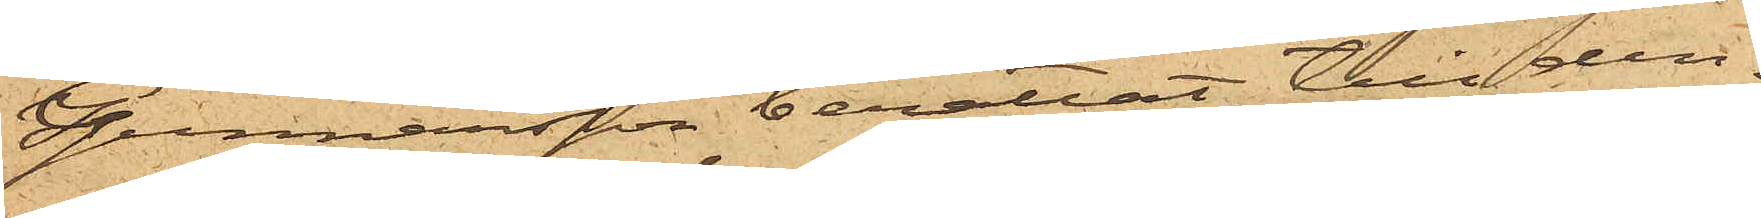Gunnarsson berättat, till den¬
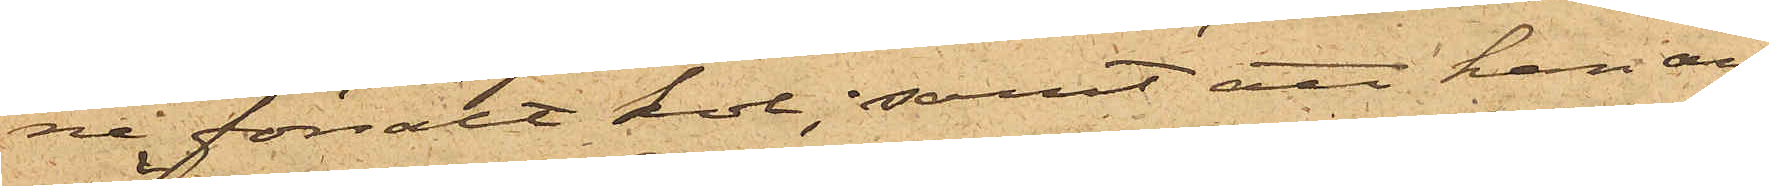ne försålt kol; samt att han an¬
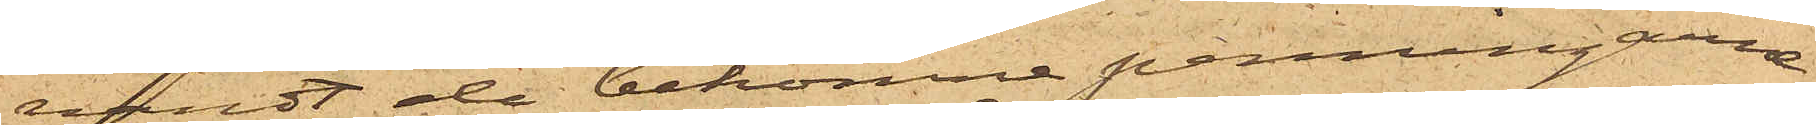vändt de bekomne penningarne
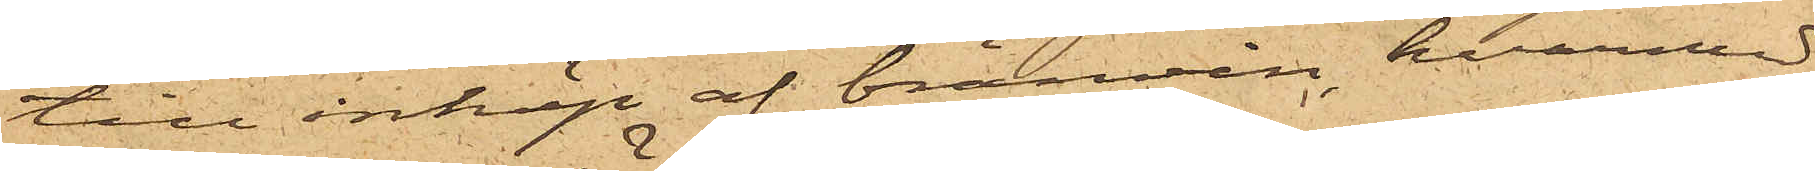till inköp af brännvin, hvarmed
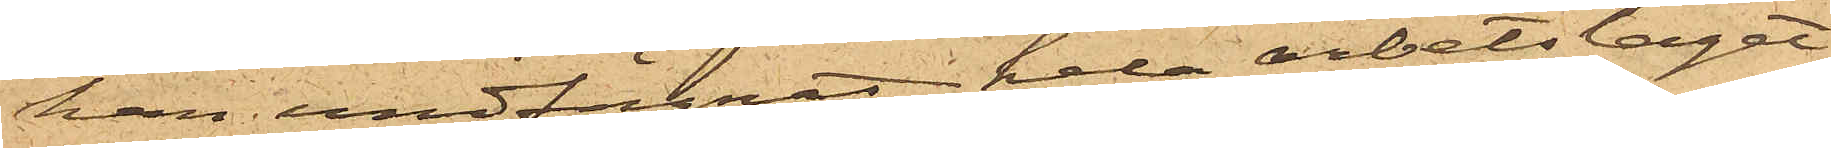han undfägnat hela arbetslaget
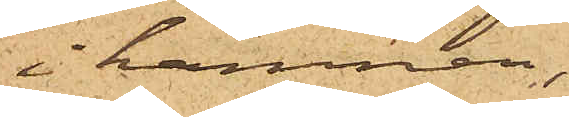i hamnen,
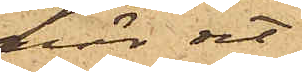enär det
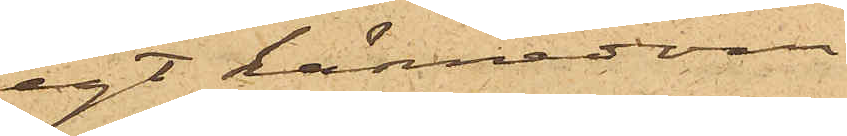egt kännedom
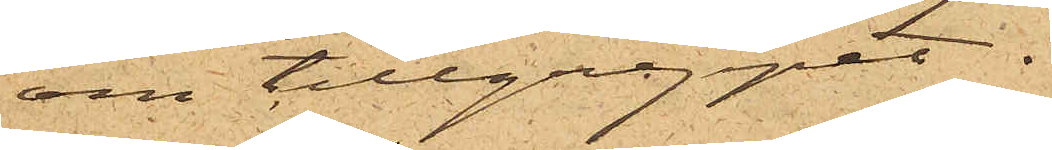om tillgreppet.
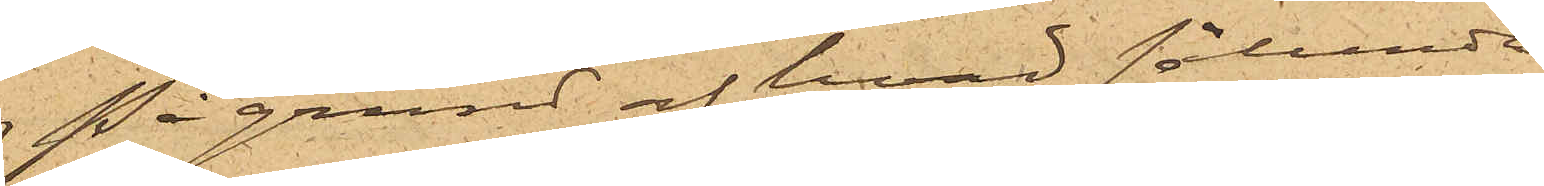På grund af hvad sålunda
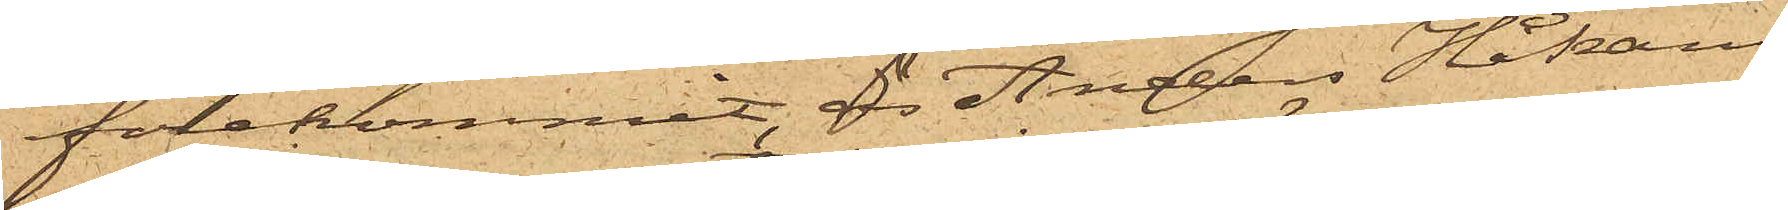förekommit, är Anders Håkans¬
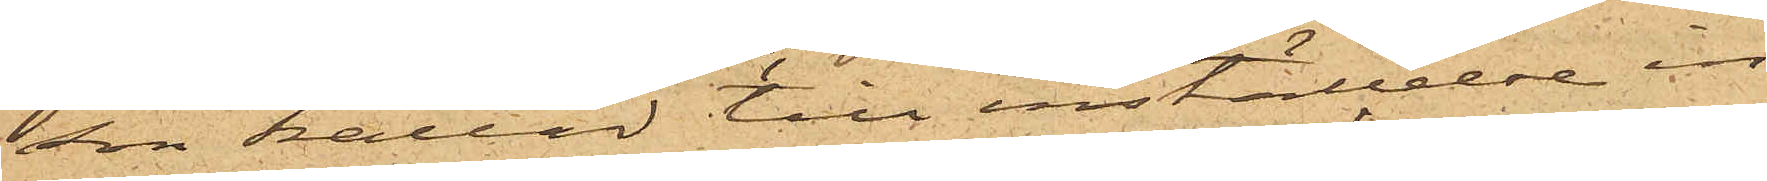son kallad till inställelse in¬
